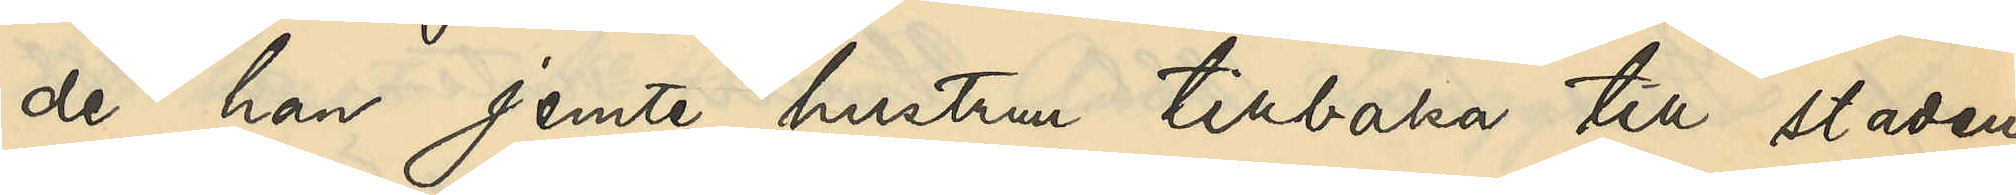de han jemte hustrun tillbaka till staden
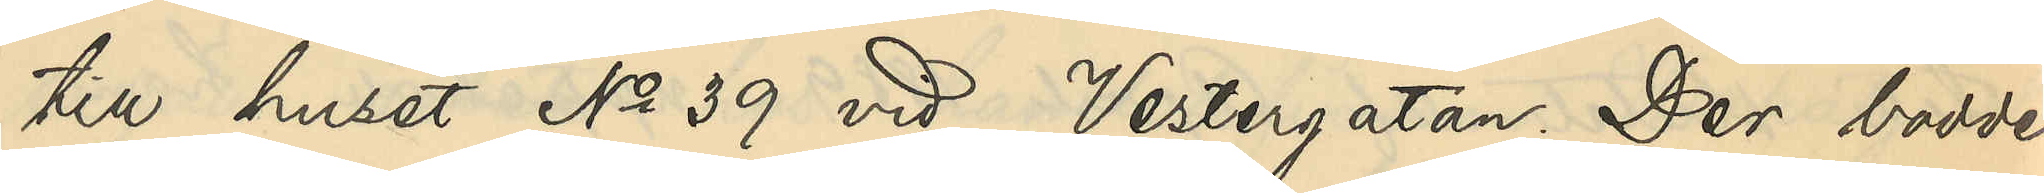till huset No 39 vid Vestergatan. Der bodde
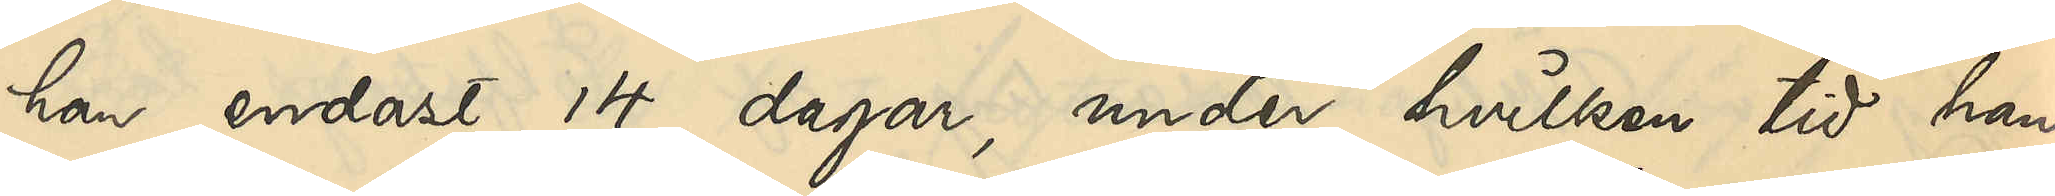han endast 14 dagar, under hvilken tid han
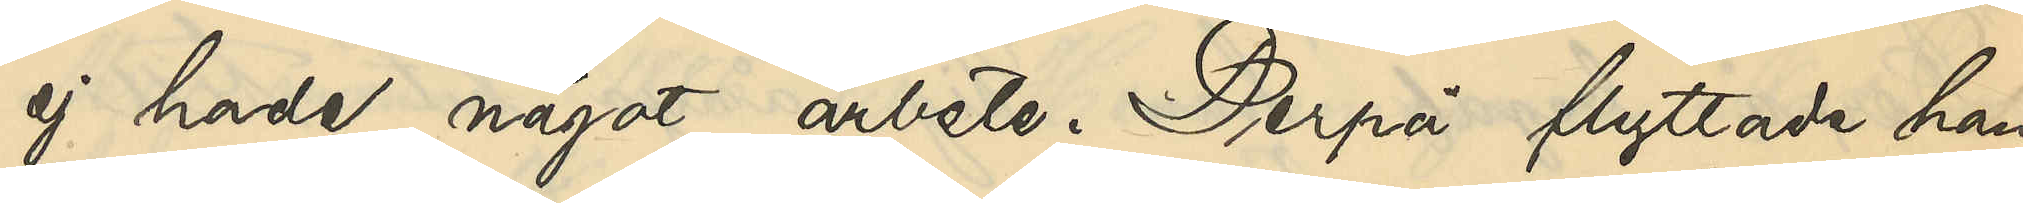ej hade något arbete. Derpå flyttade han
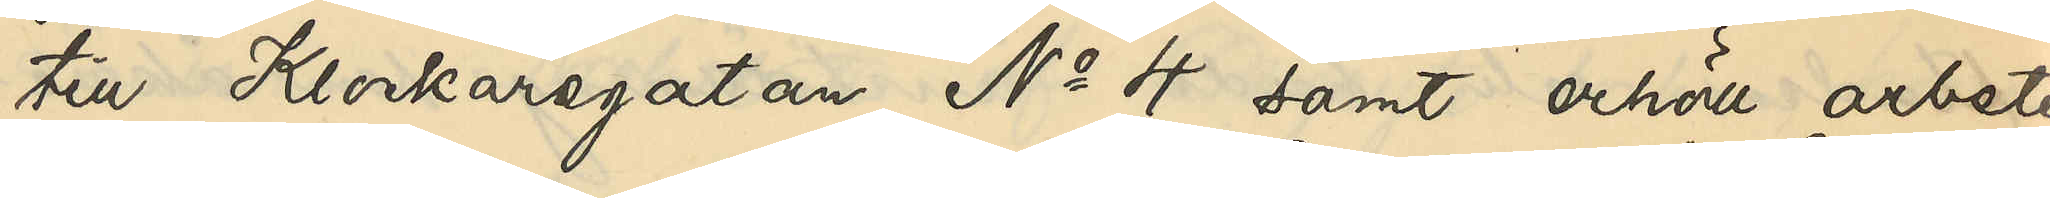till Klockaregatan No 4 samt erhöll arbete
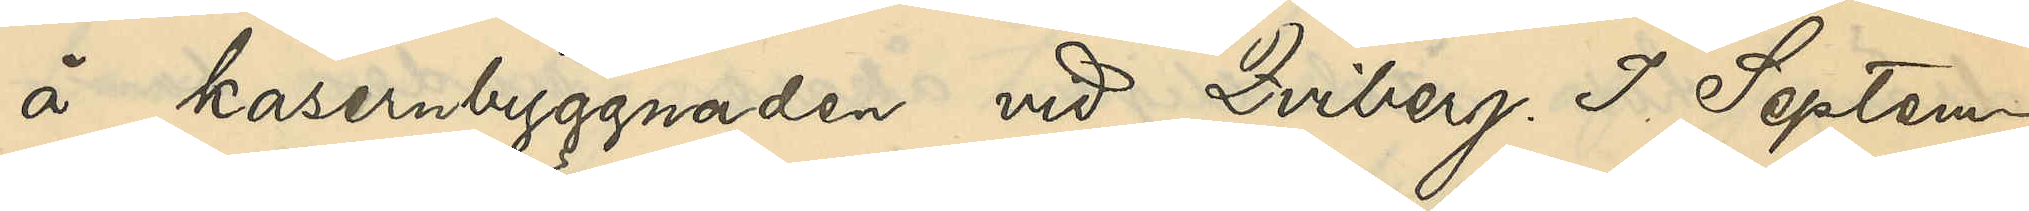å kasernbyggnaden vid Qviberg. I Septem¬
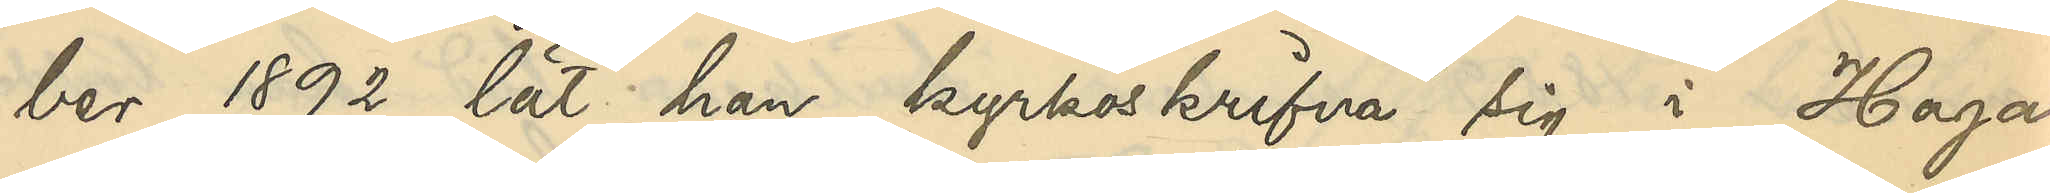ber 1892 lät han kyrkoskrifva sig i Haga
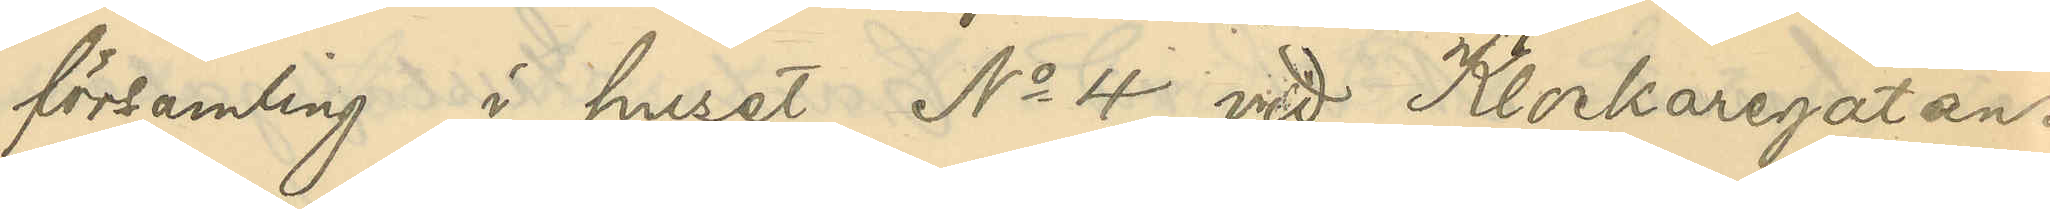församling i huset No 4 vid Klockaregatan.
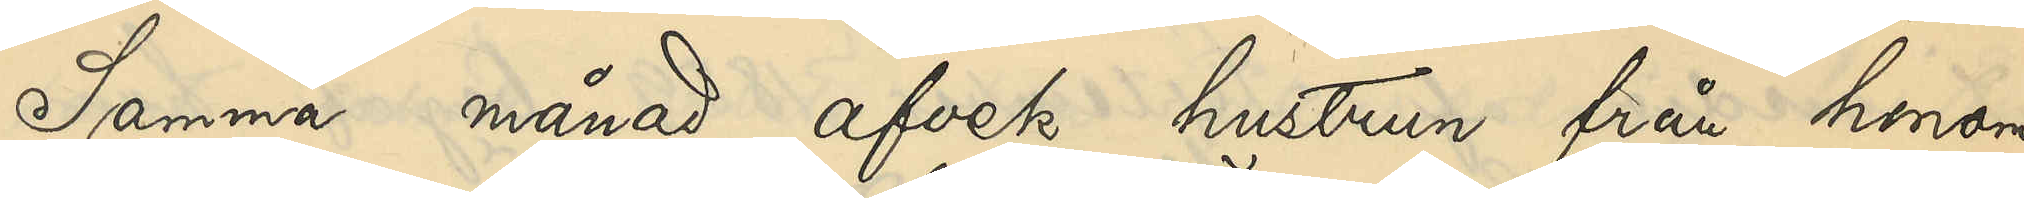Samma månad afvek hustrun från honom
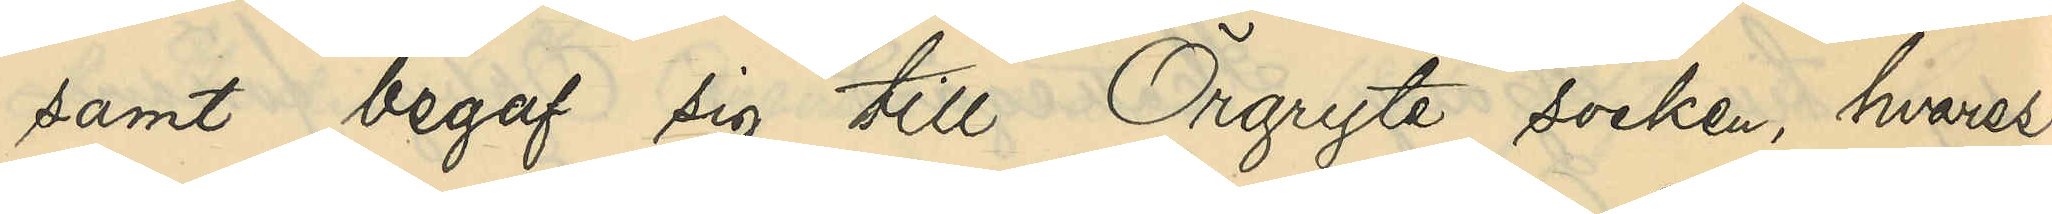samt begaf sig till Örgryte socken, hvarest
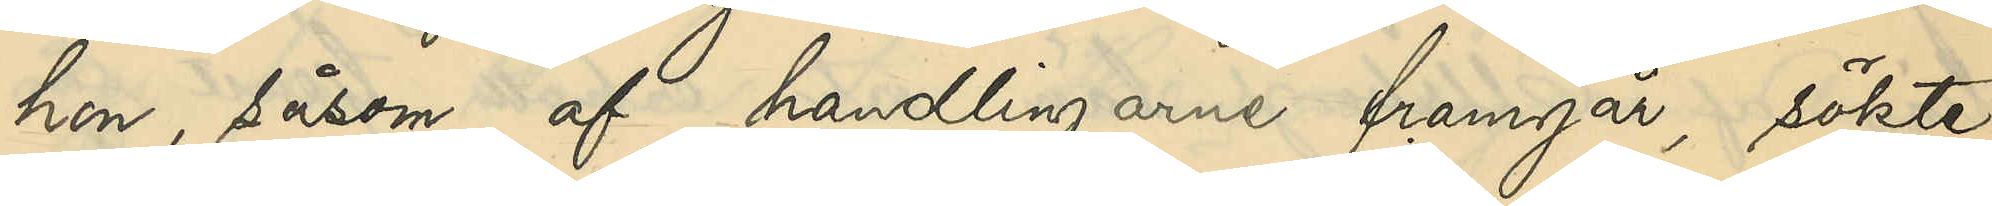hon, såsom af handlingarne framgår, sökte
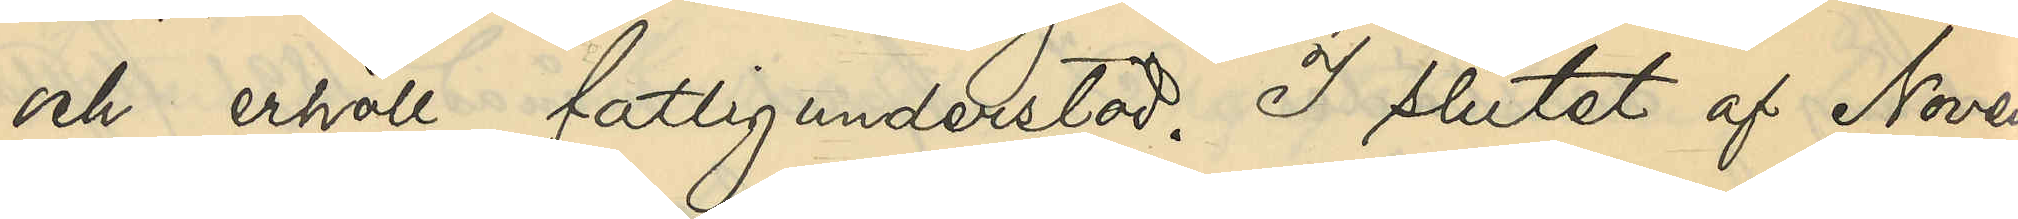och erhöll fattigunderstöd. I slutet af Novem¬
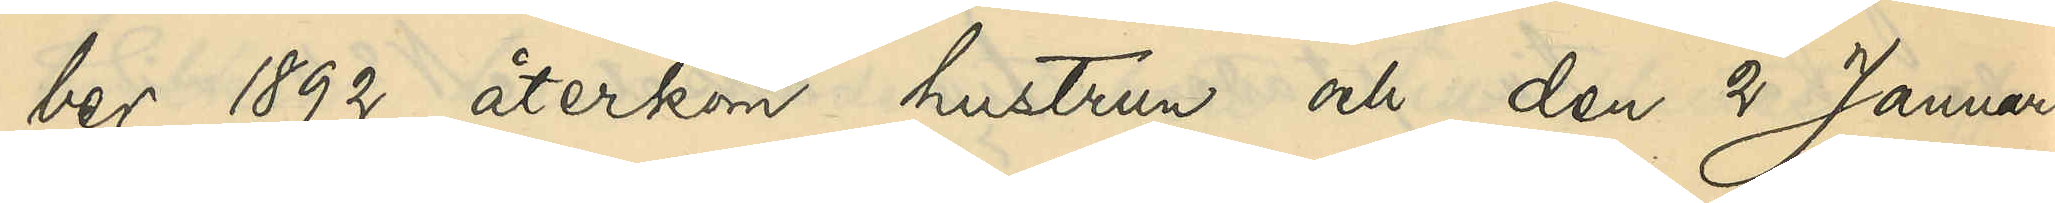ber 1892 återkom hustrun och den 2 Januari
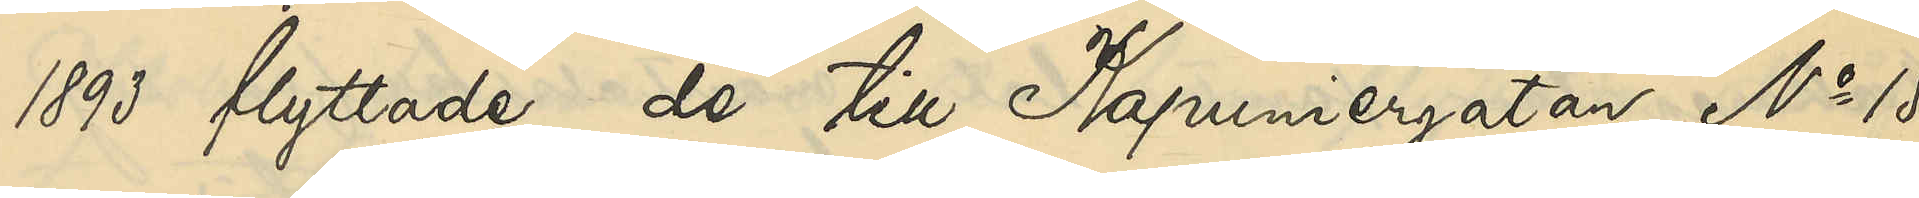1893 flyttade de till Kapuniergatan No 15
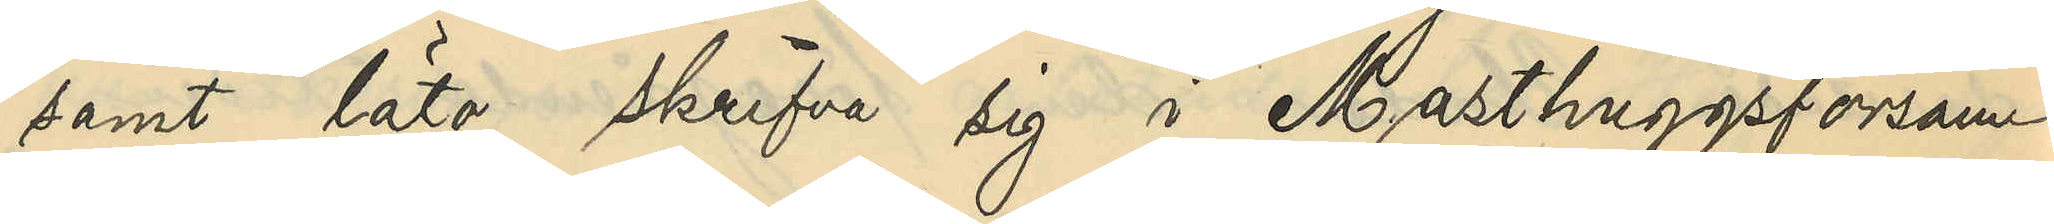samt läto skrifva sig i Masthuggsförsam¬
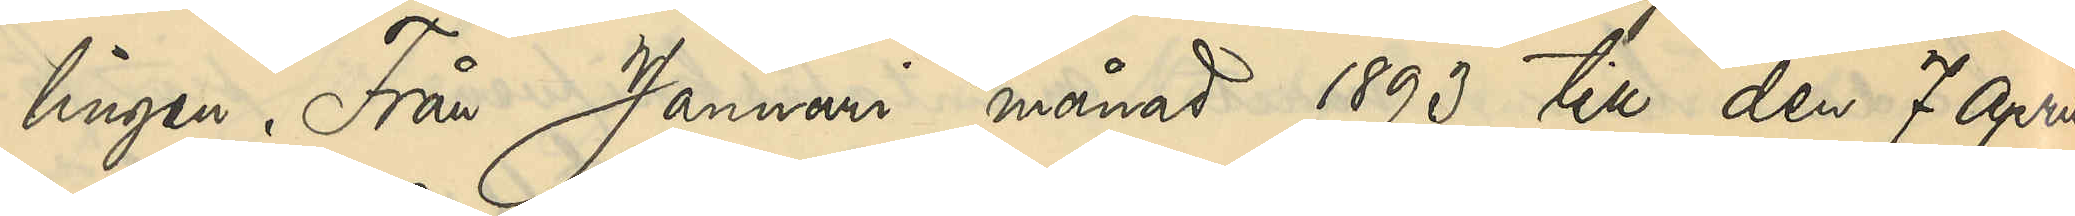lingen. Från Januari månad 1893 till den 7 April
